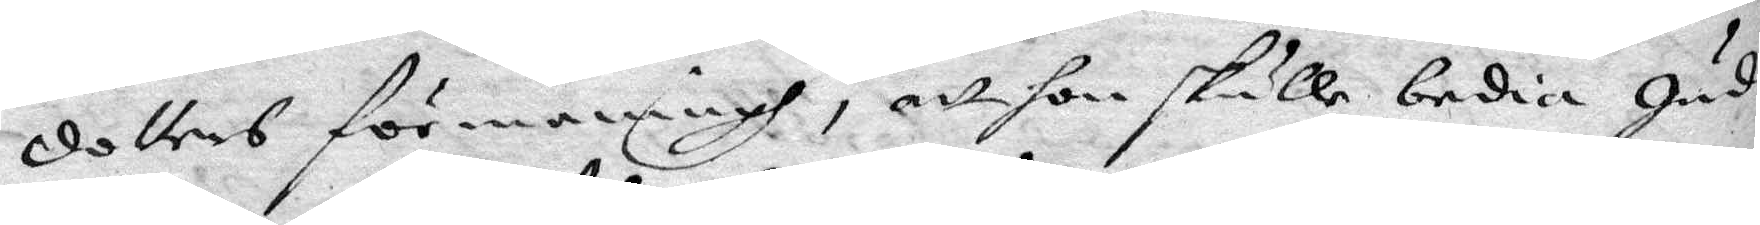dotters förmaningh, att hon skulle bedia Gud
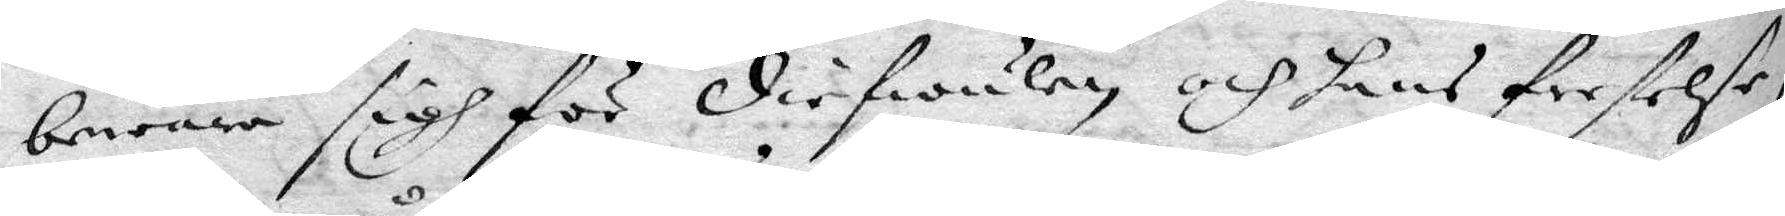bewara sigh för diefwulen och hans frestelse,
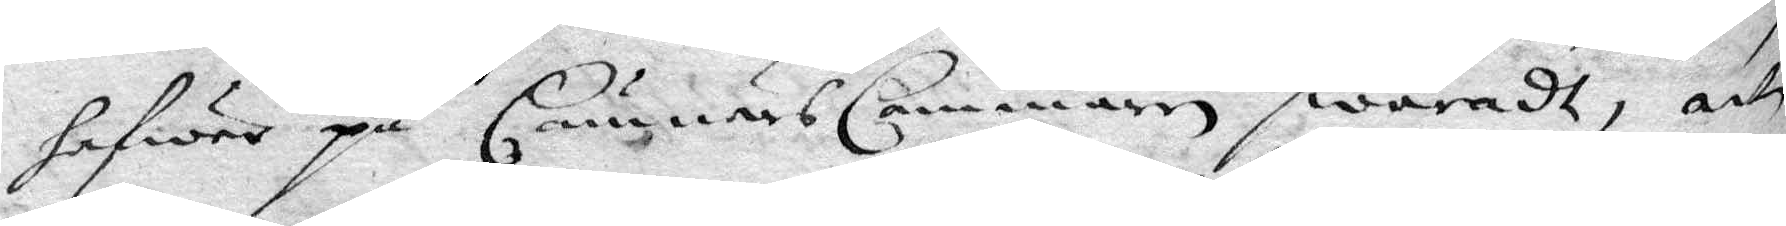hafwer på CämärsCammaren swaradt, att
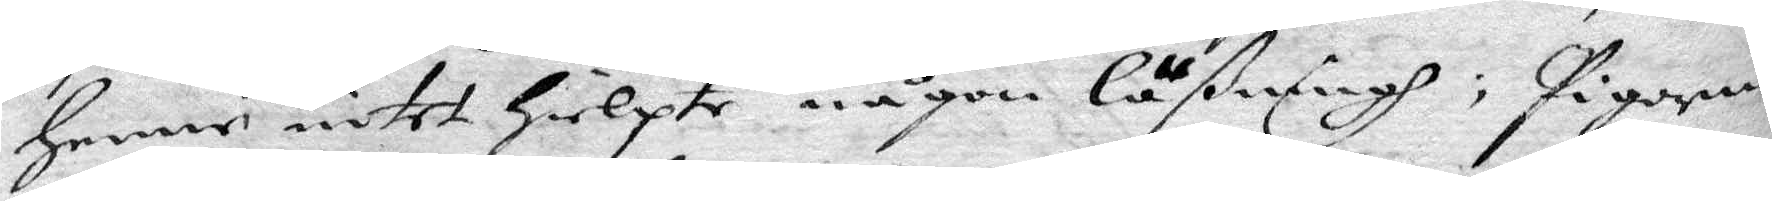henne intet hielpte någon Läßning; Pigorna
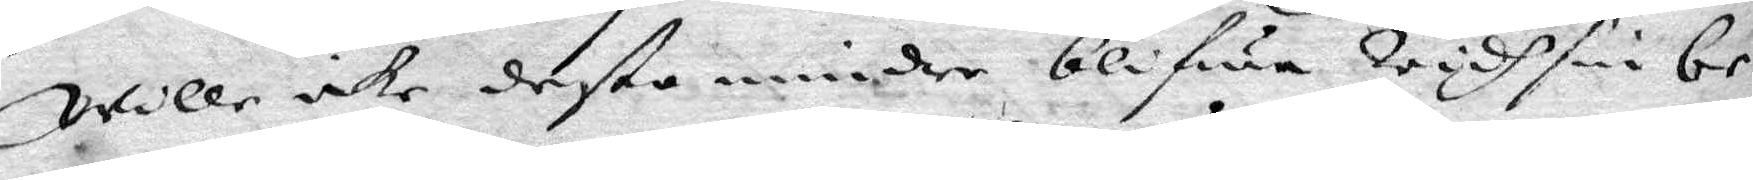wille icke desto mindre blifwa widh sin be¬
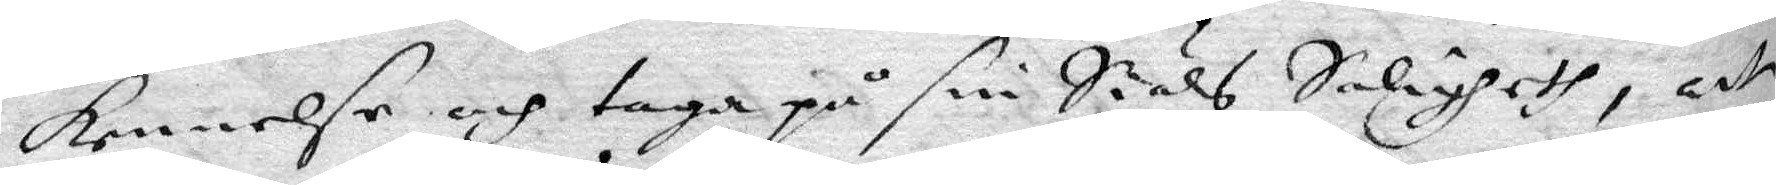kennelse och taga på sin Siäls Saligheth, att
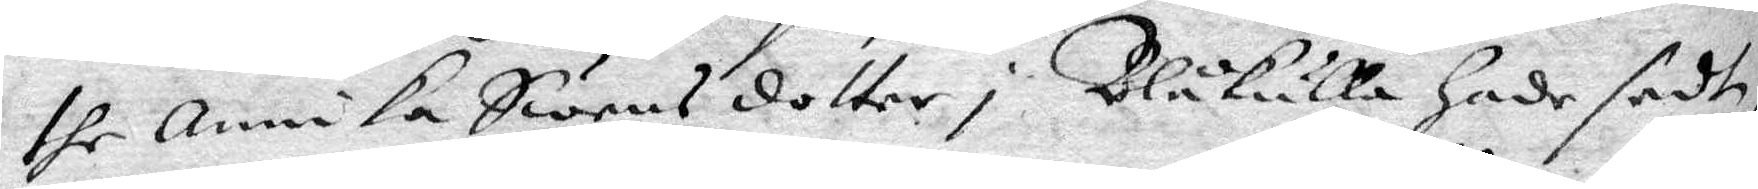the Annika Swensdotter i Blåkulla hade sedt,
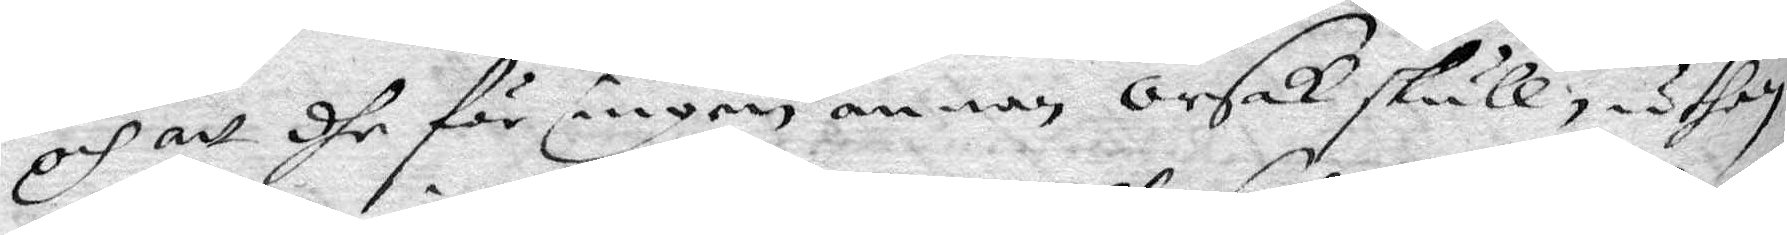och att dhe för ingen annan orsak skull, uthan
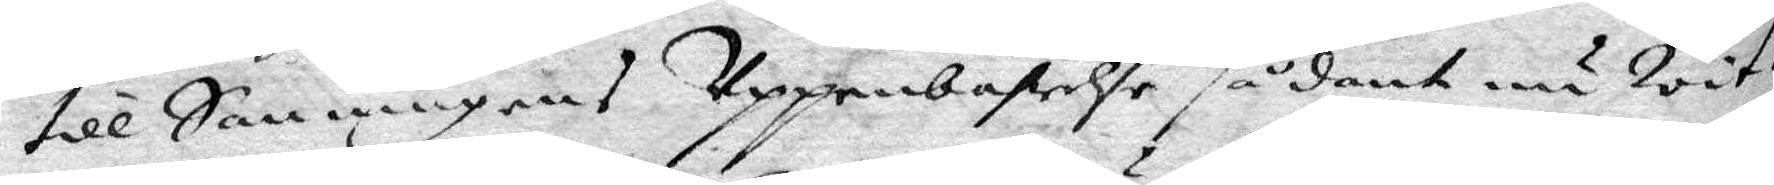till Sanningens Uppenbarelse sådant nu Wit¬
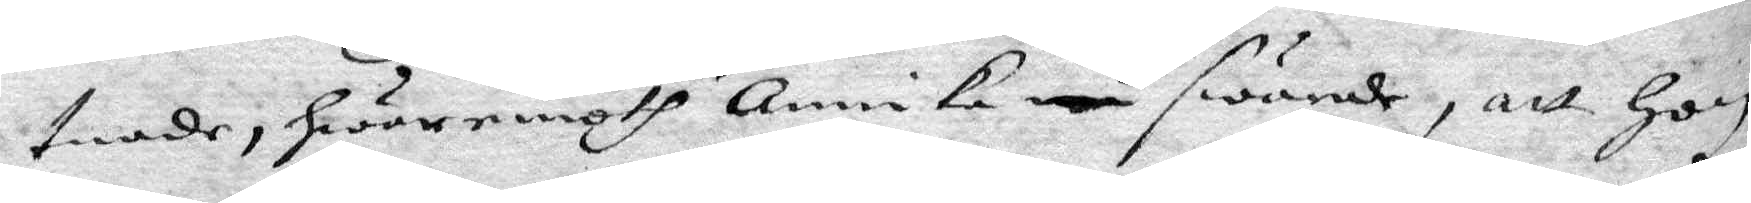tnade, hwaremoth Annika swarade, att hon
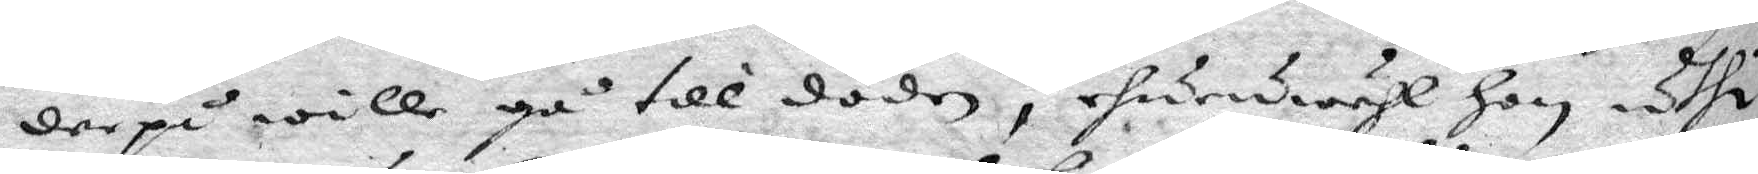derpå will gå till döden, ehuruwähl hon uthi
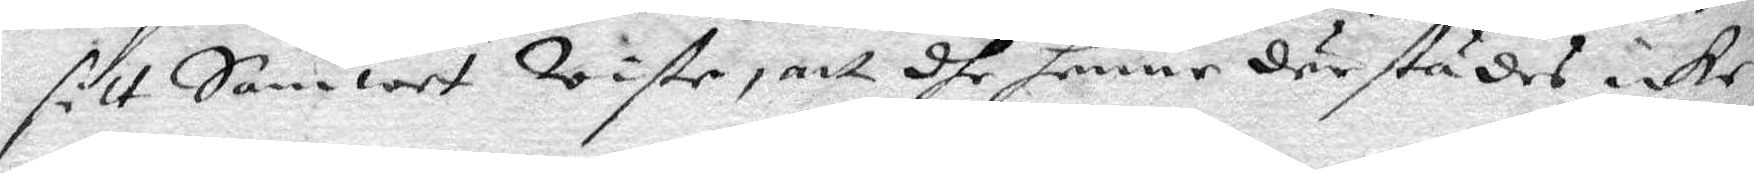sitt Samwet Wiste, att dhe henne därstädes icke
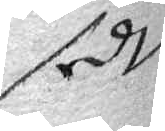sedt
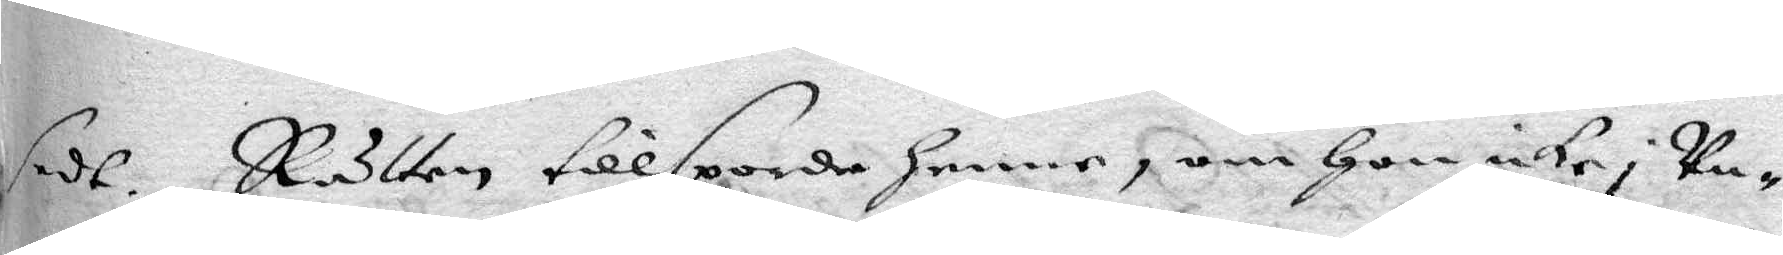sedt. Rätten tillsporde henne, om hon icke i Un¬
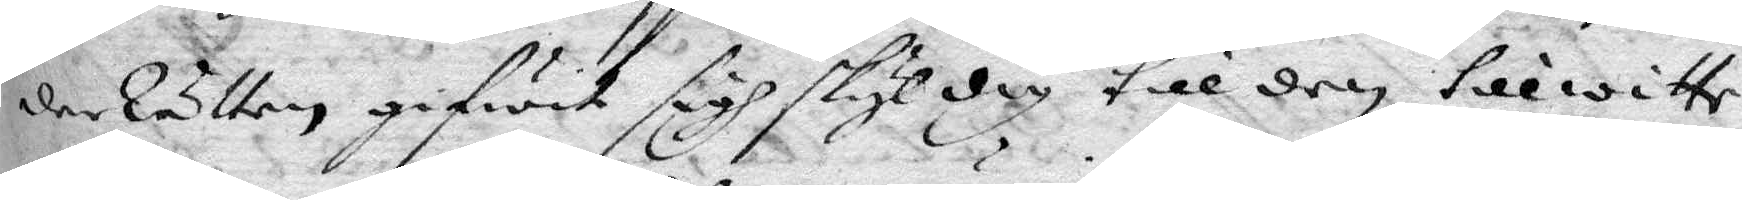derRätten gifwit sigh skyldig till den tillwitte
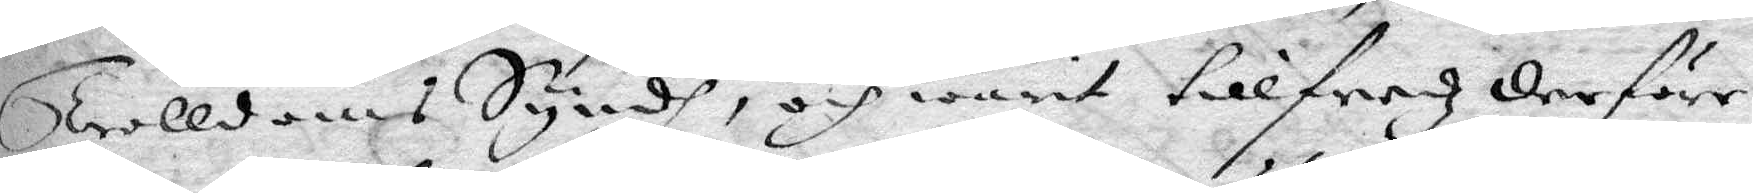Trolldoms Synden, och warit tillfredz derföre
